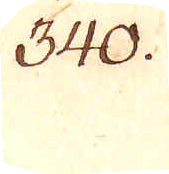340.
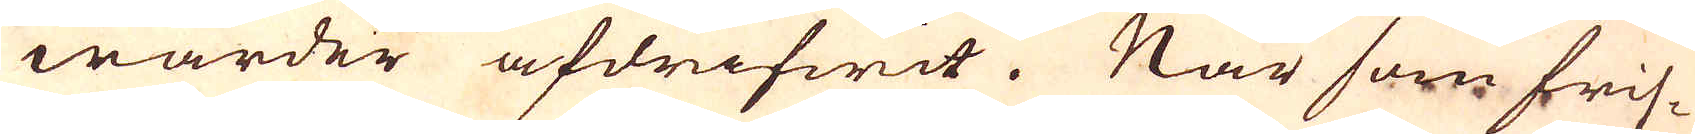warder afdrifwit. När som fris-
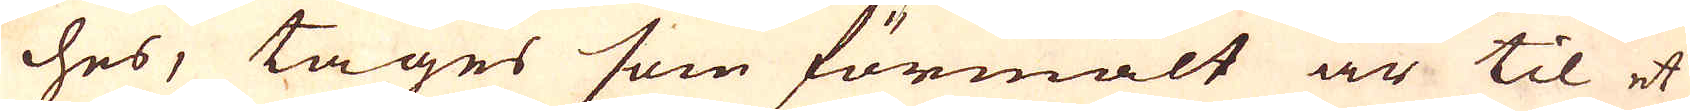ches, tages som förmält är til et
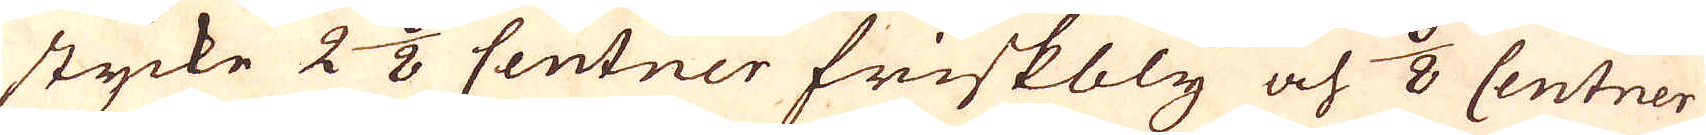stycke 2 6/8 Centner friskbly och 6/8 Centner
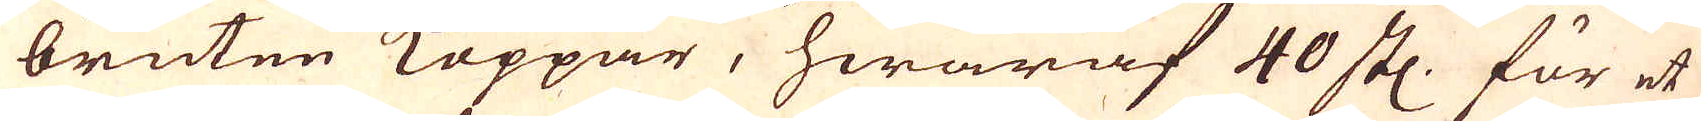bruten Koppar, hwaraf 40 stl. för et
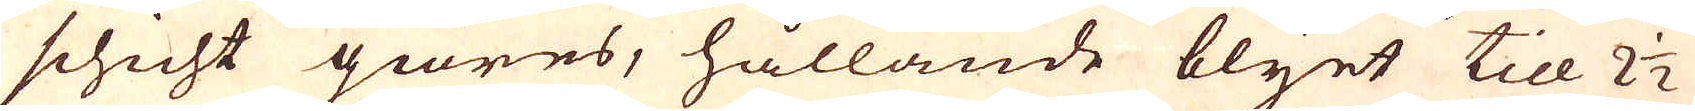schicht giöres, hållande blyet till 2 1/2
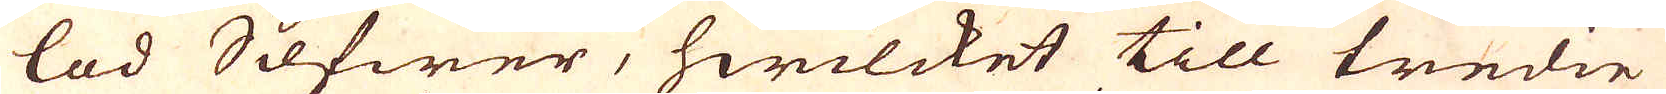lod Slfwer, hwilcket till tredie
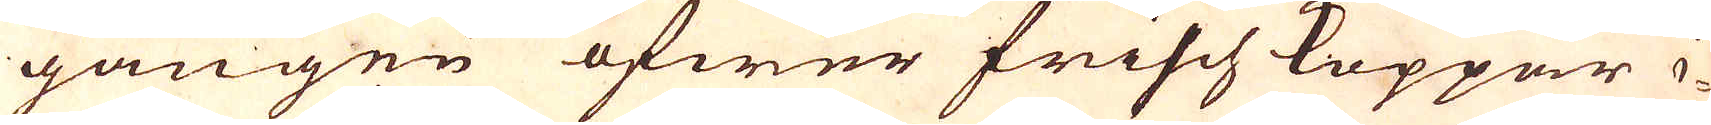gången öfwer frischKoppar i-
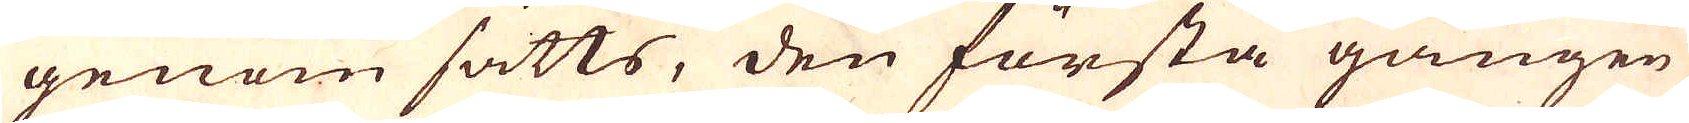genom sätts, den första gången
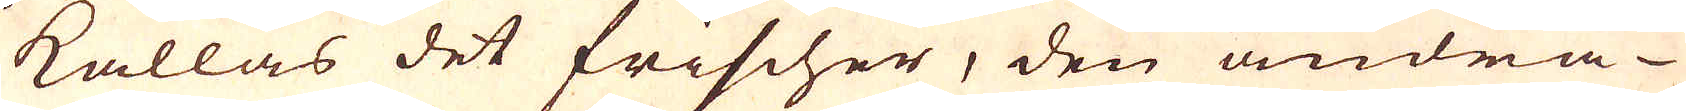kallas det frischer, den andra
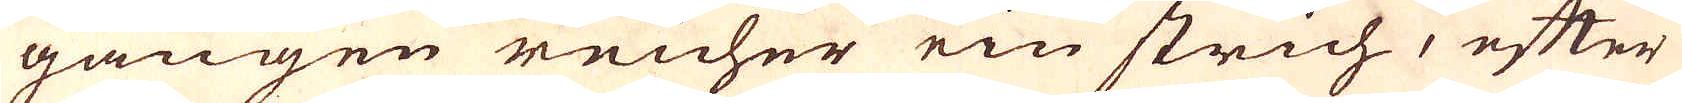gången reicher ein strich, efter
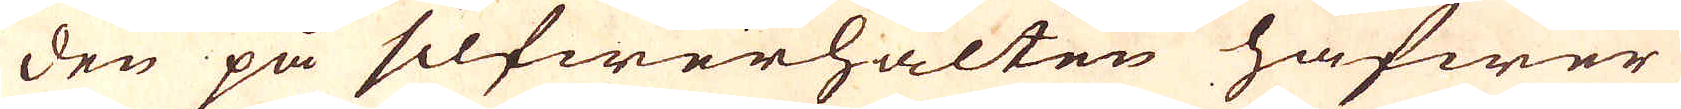den på silfwerhalten hafwer
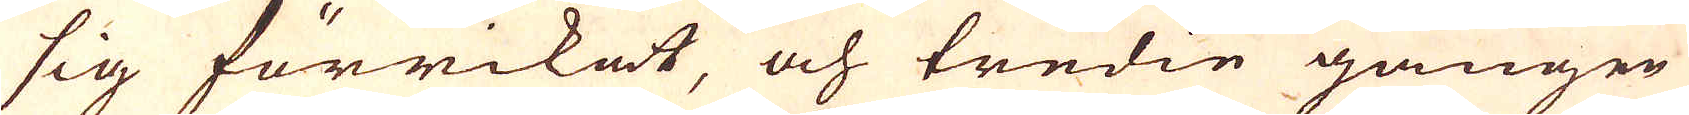sig förrikat, och tredie gången
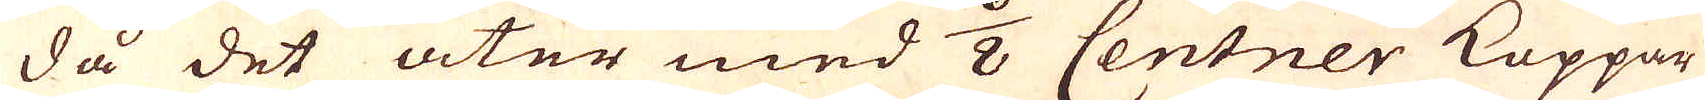då det åter med 6/8 Centner Koppar
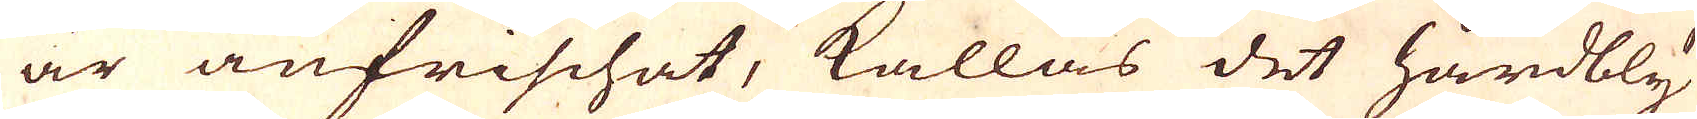är anfrischat, kallas det hårdbly
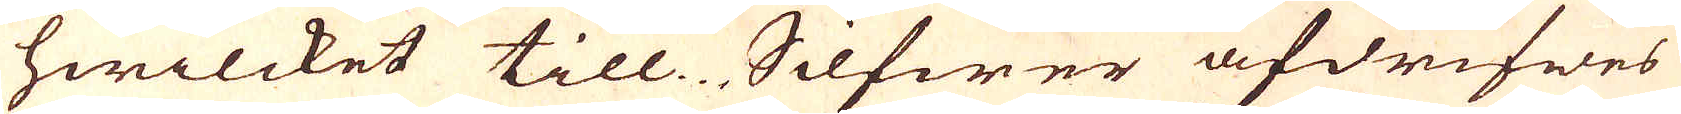hwilcket till Silfwer afdrifwes
